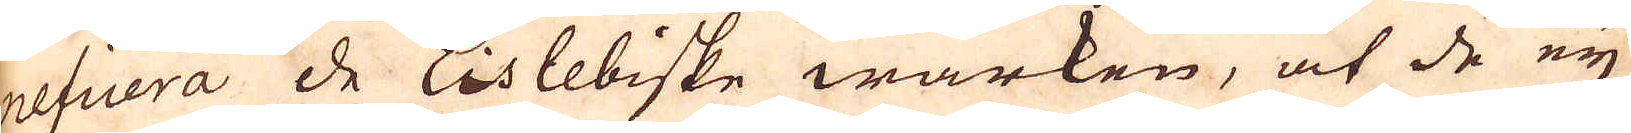neficera de Eislebiske wärken, at de eij
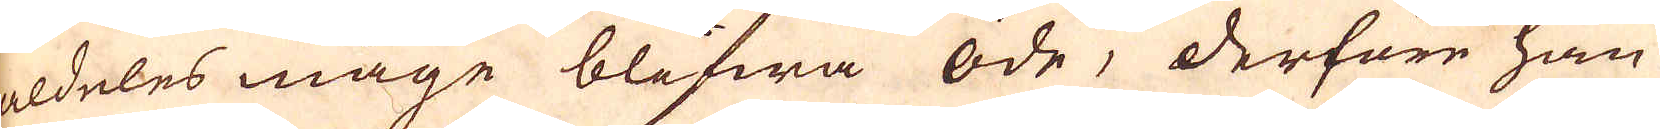eldeles måge blifwa öde, derföre han
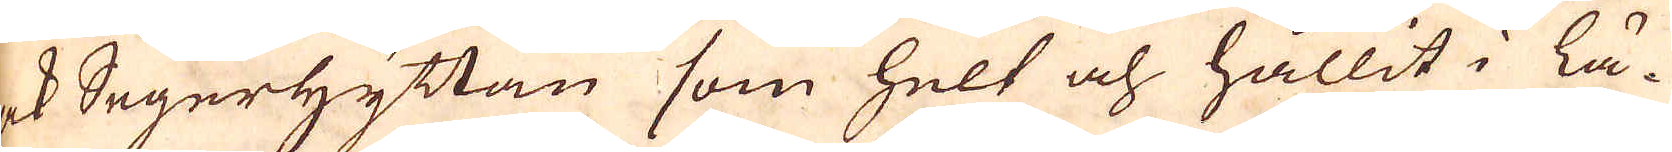ock Segerhyttan som helt och hållit i lä-
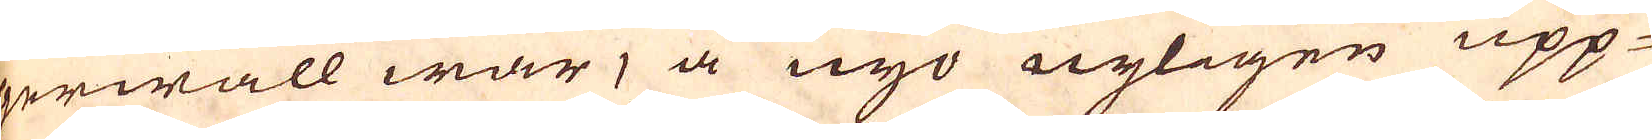gerwall war, å nyo nyligen upp-
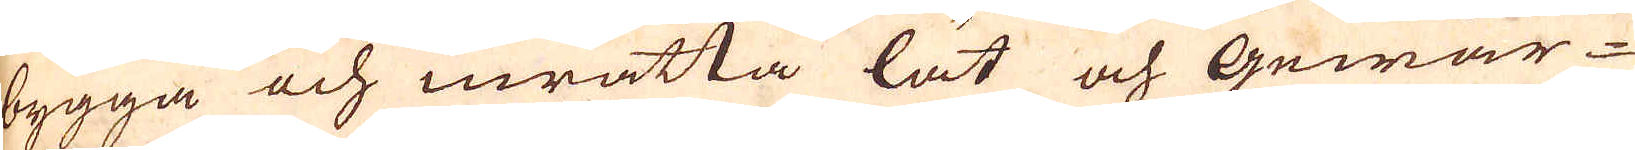bygga och inrätta lät och Gewär-
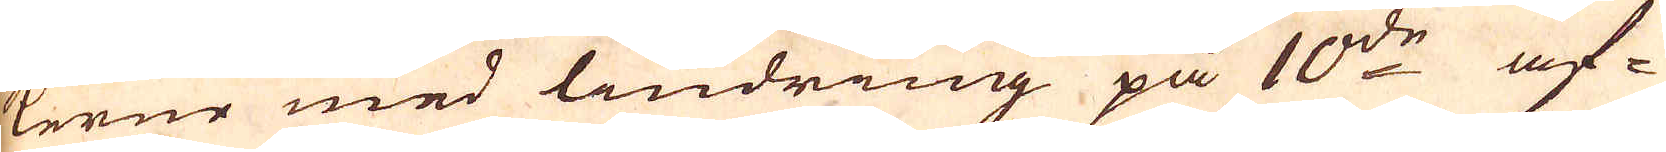kerne med lindring på 10:de af-
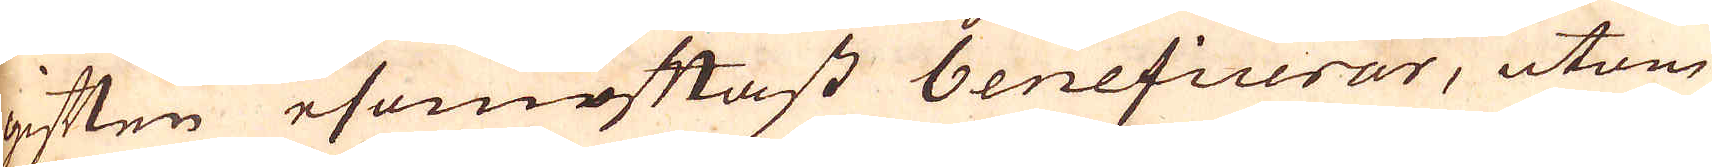giften esomoftast beneficerar, utom
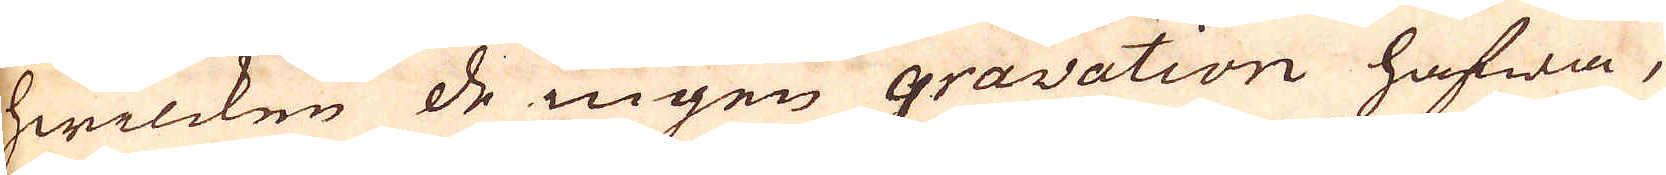hwilcken de ingen gravation hafwa,
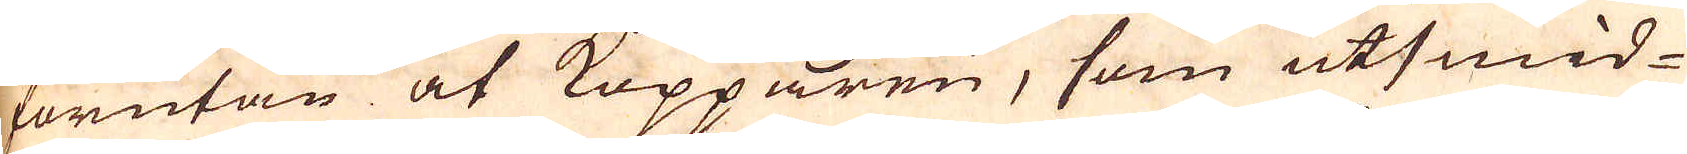förutan at Kopparen, som utsmid-
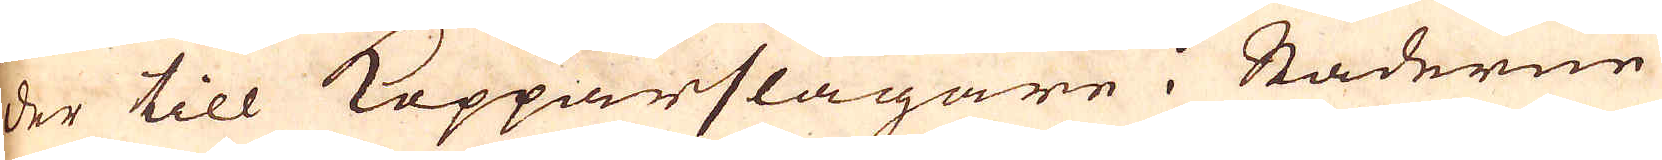der till Kopparslagare i Städerne
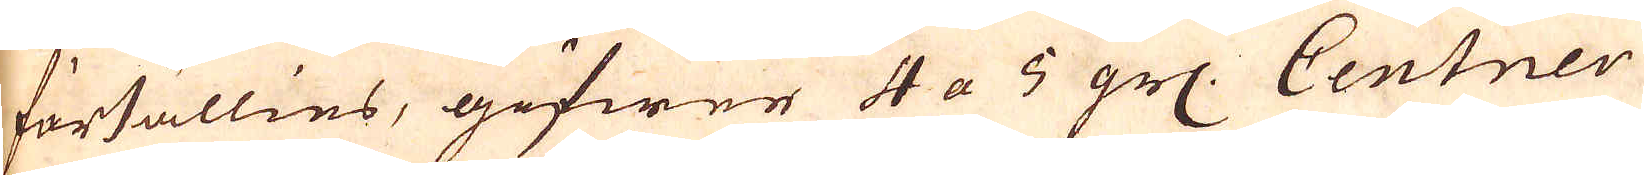försällies, gifwer 4 a 5 grs. Centner
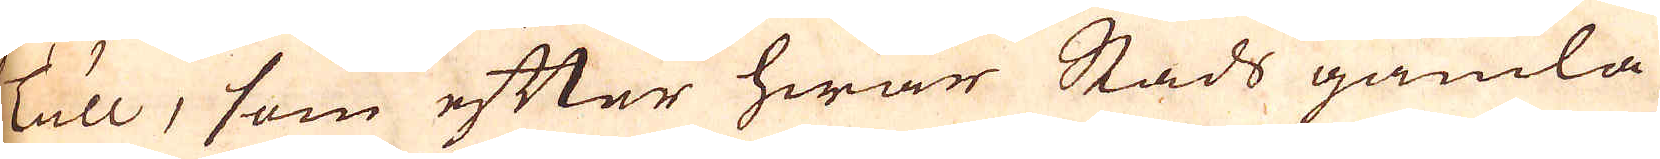Tull, som efter hwar Stads gamla
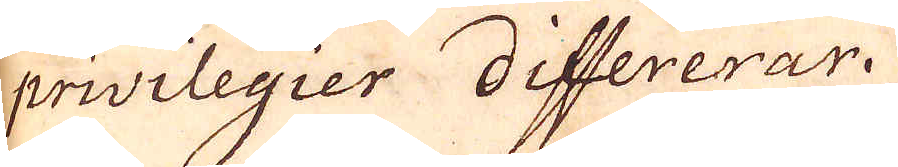privilegier differerar.
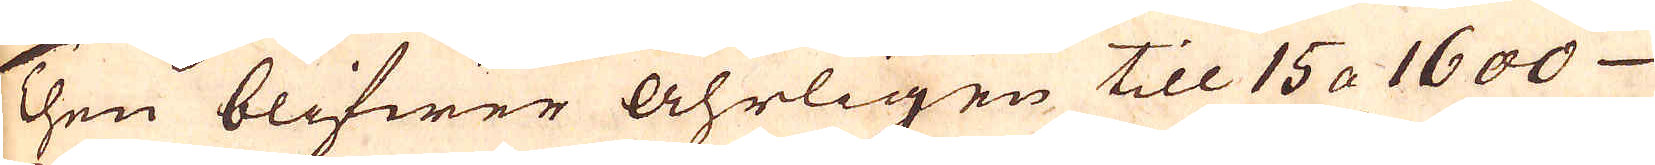Then blifwer åhrligen till 15 a 1600
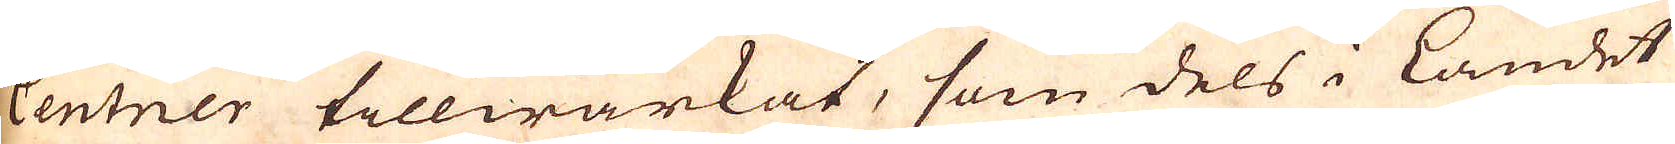Centner tillwärkat, som dels i Landet
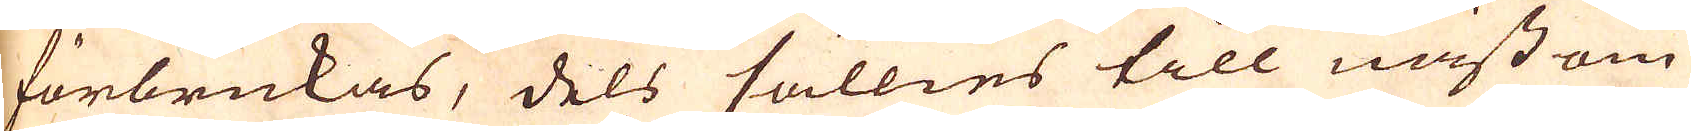förbrukas, dels sällies till näst om
